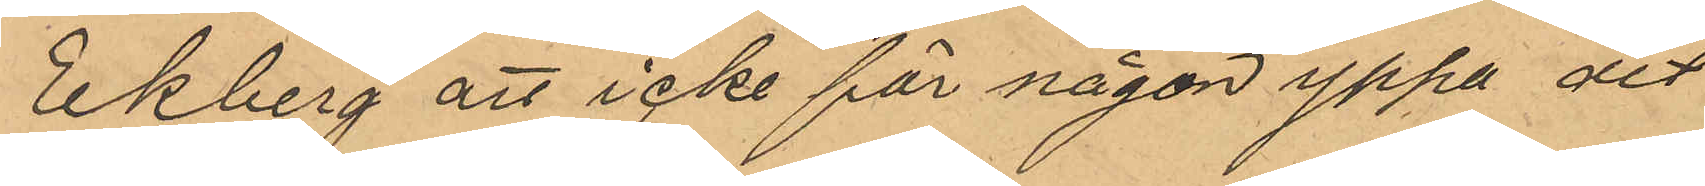Ekberg att icke för någon yppa det
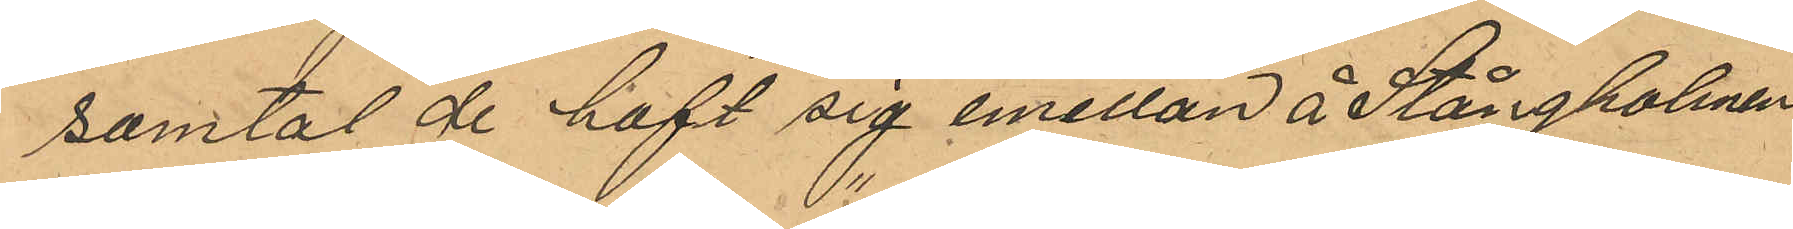samtal de haft sig emellan å Stångholmen
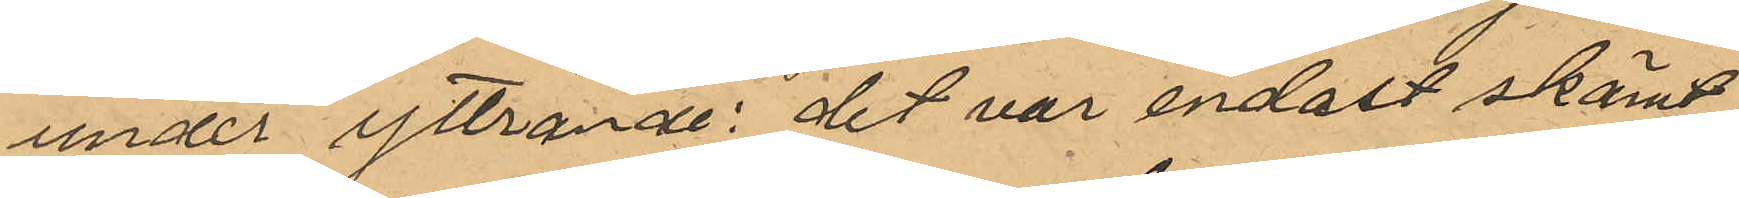under yttrande : "det var endast skämt
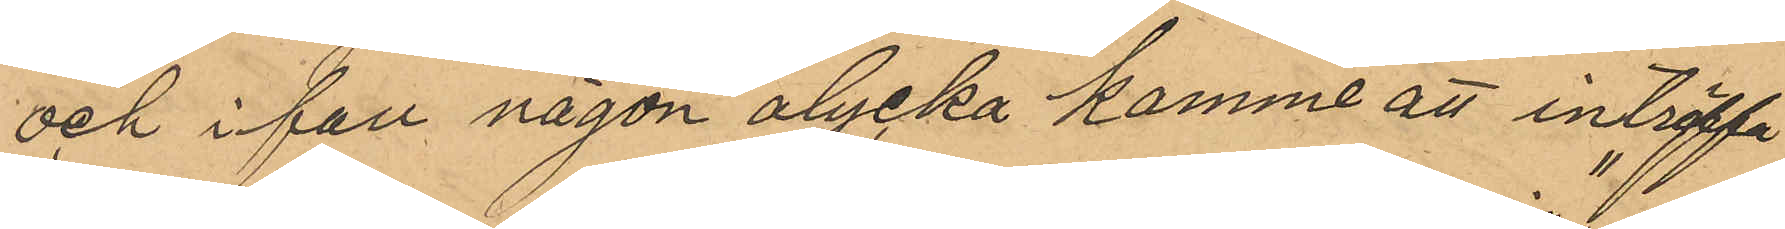och ifall någon olycka komme att inträffa
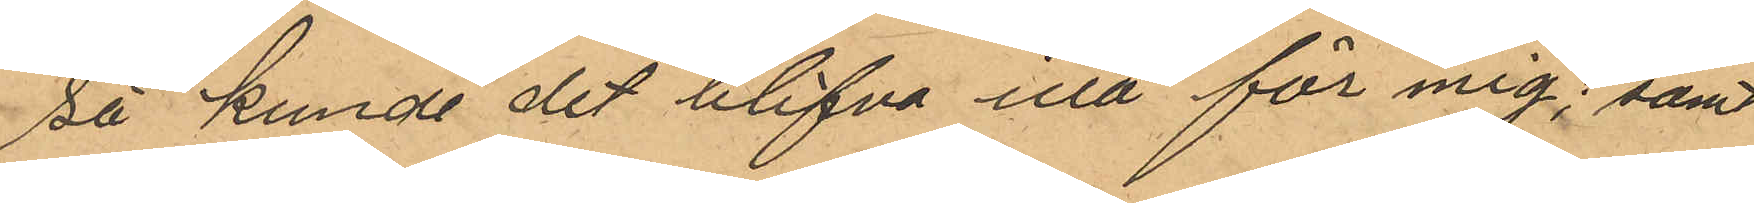så kunde det blifva illa för mig"; samt
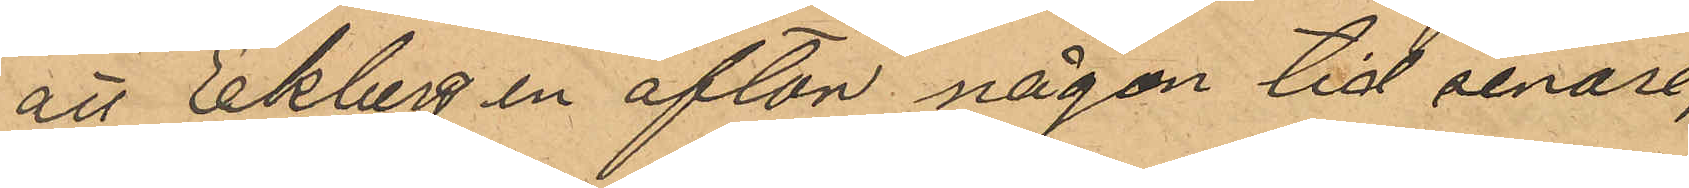att Ekberg en afton någon tid senare,
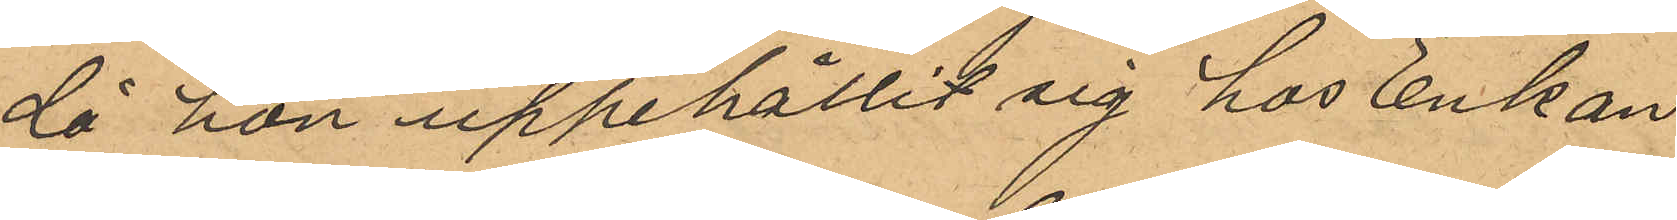då hon uppehållit sig hos Enkan
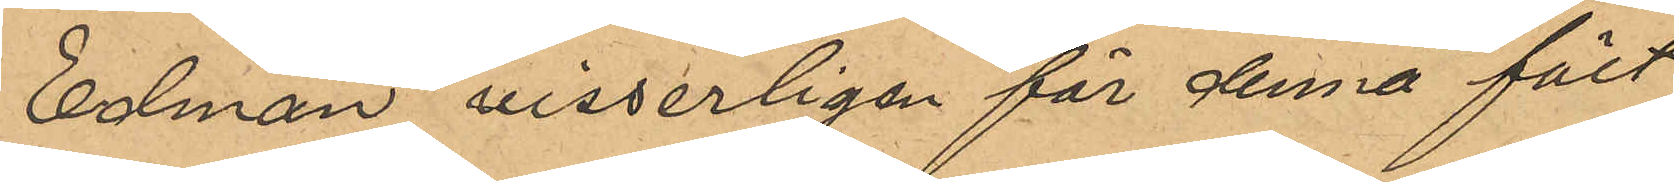Edman visserligen för denna fält
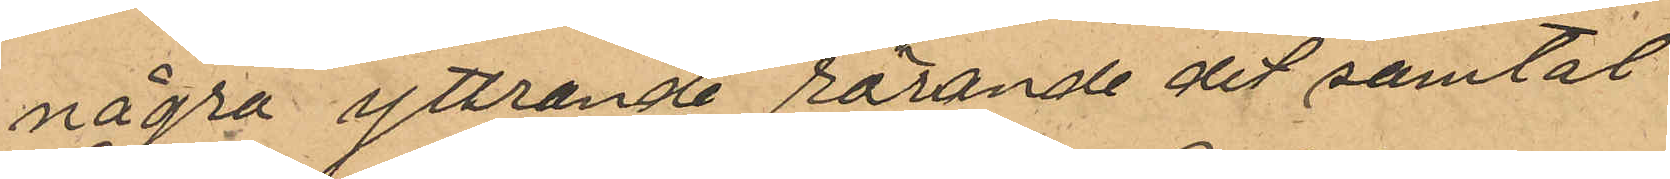några yttrande rörande det samtal
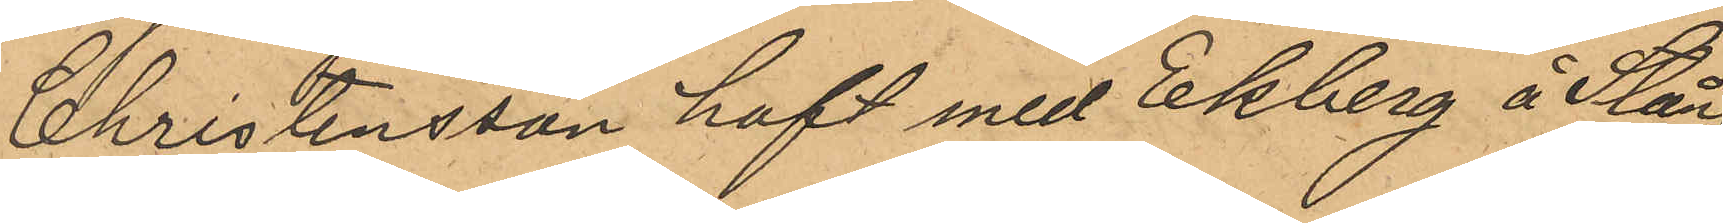Christensson haft med Ekberg å Stång¬
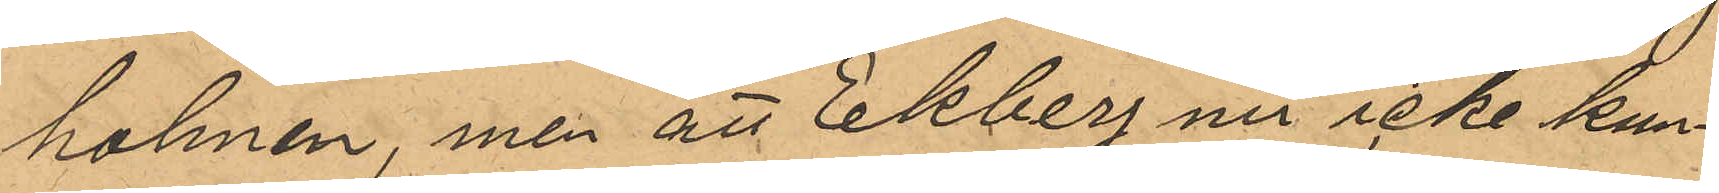holmen, men att Ekberg nu icke kun¬
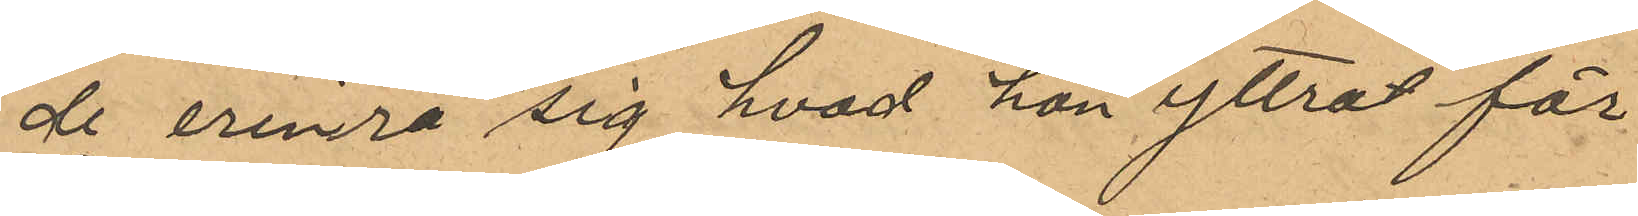de erinra sig hvad hon yttrat för
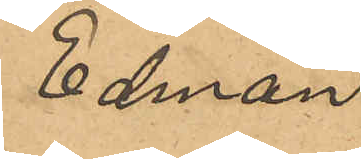Edman.
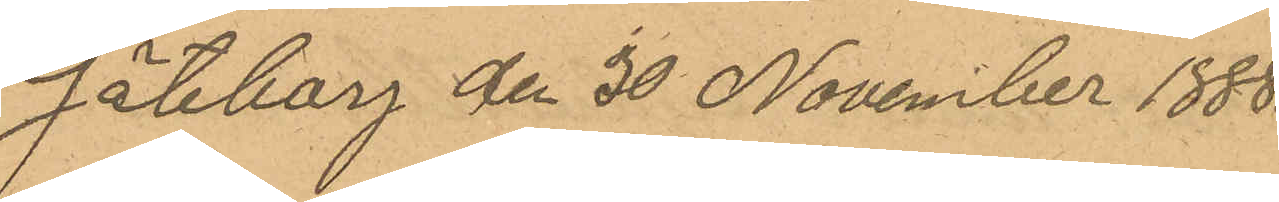Göteborg den 30 November 1888.
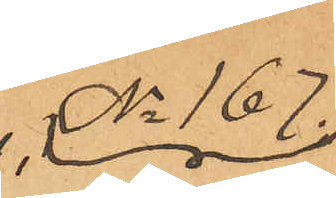No 167.
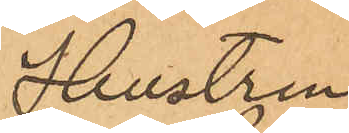Hustrun
